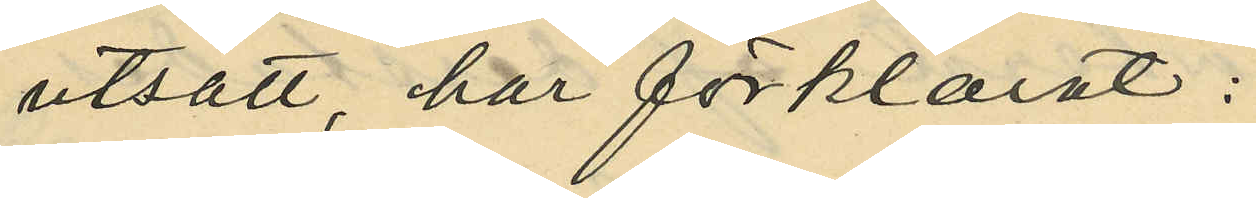utsatt, har förklarat:
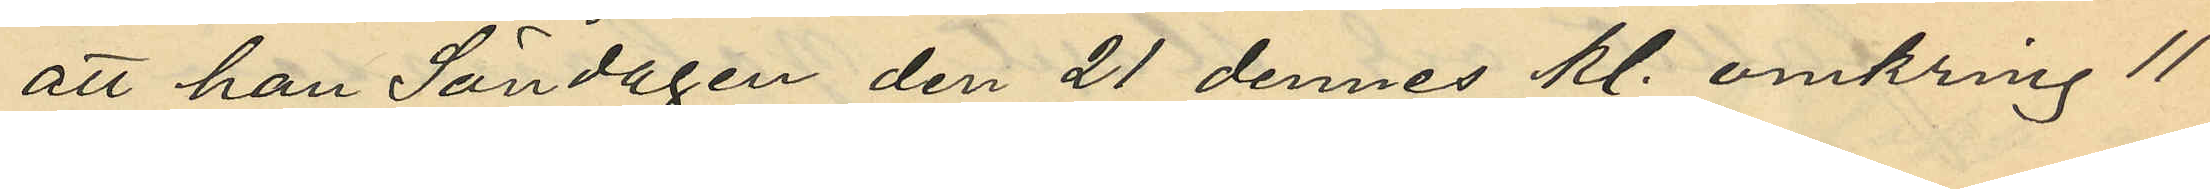att han Söndagen den 21 dennes kl. omkring 11
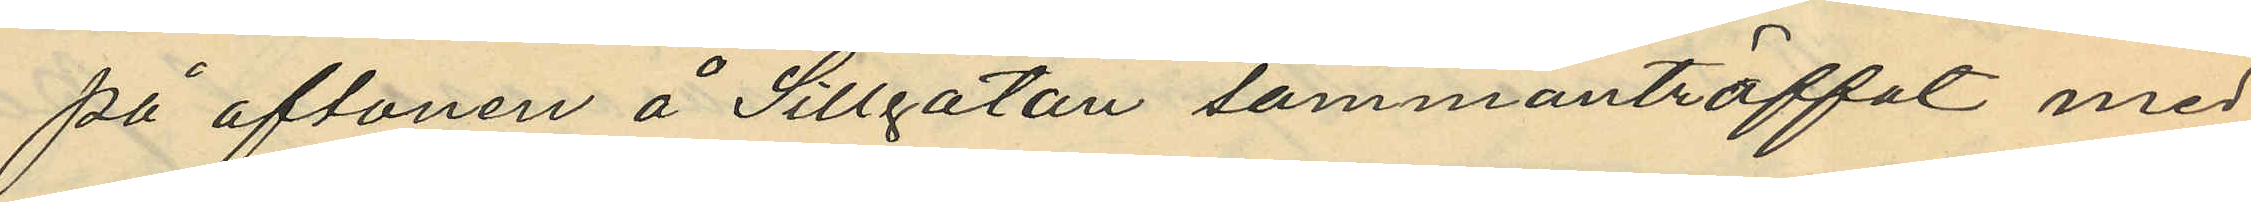på aftonen å Sillgatan sammanträffat med
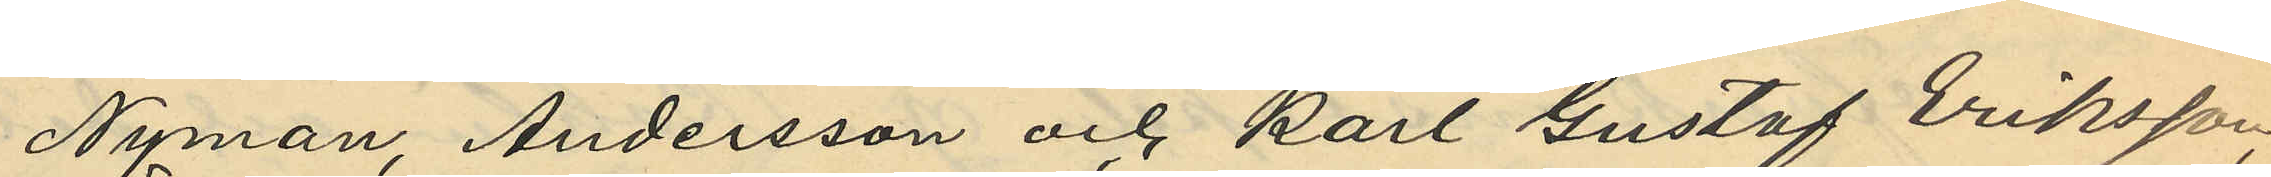Nyman, Andersson och Karl Gustaf Eriksson,
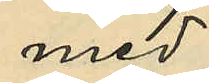med
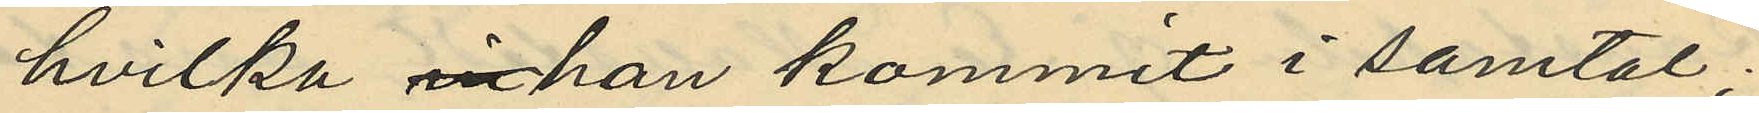hvilka in han kommit i samtal;
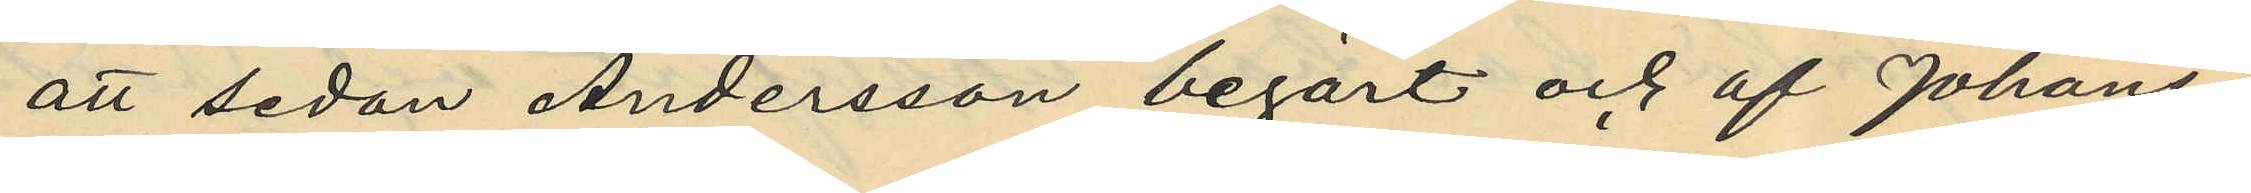att sedan Andersson begärt och af Johans¬
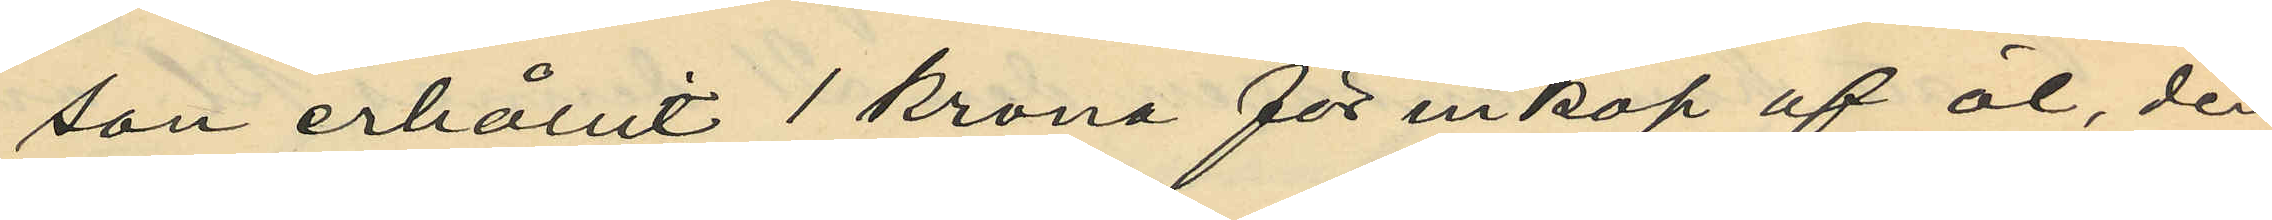son erhållit 1 krona för inköp af öl, den
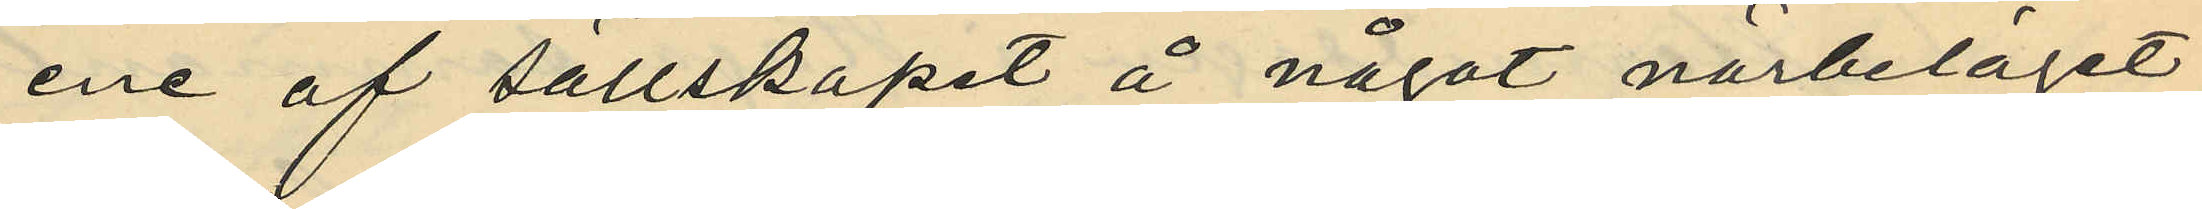ene af sällskapet å något närbeläget
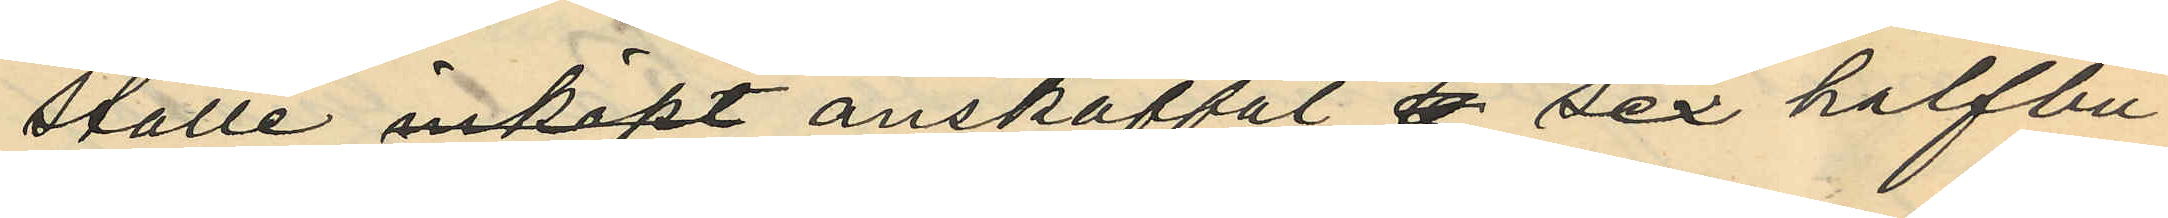ställe inköpt anskaffat sex halfbu¬
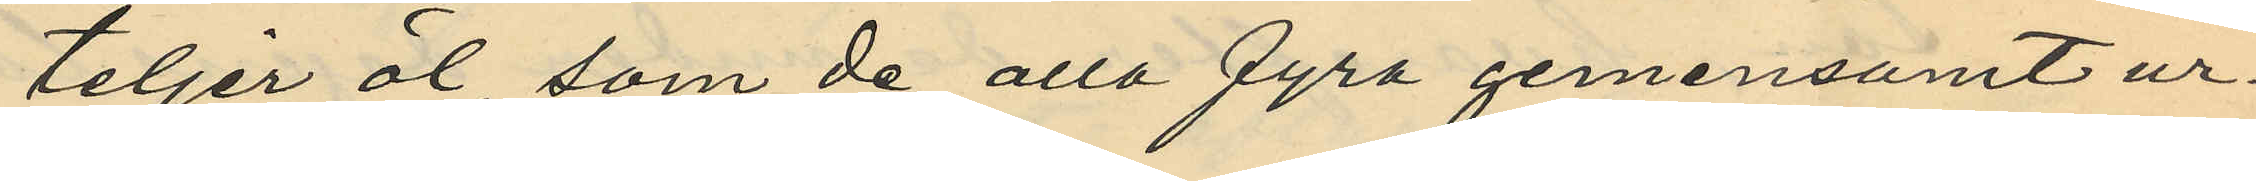teljer öl som de alla fyra gemensamt ur¬
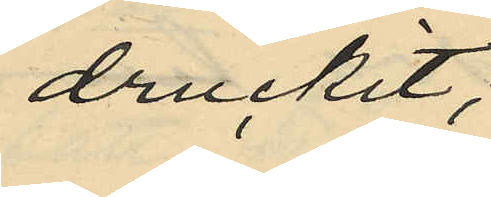druckit;
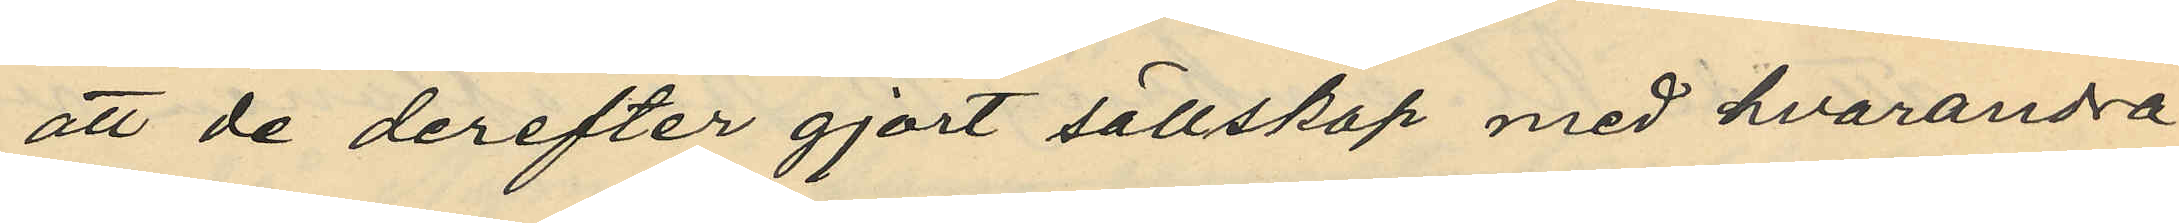att de derefter gjort sällskap med hvarandra
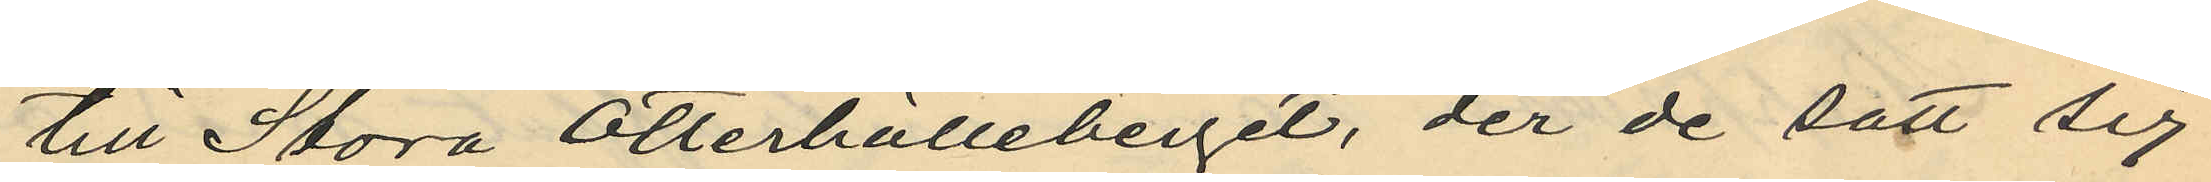till Stora Otterhälleberget, der de satt sig
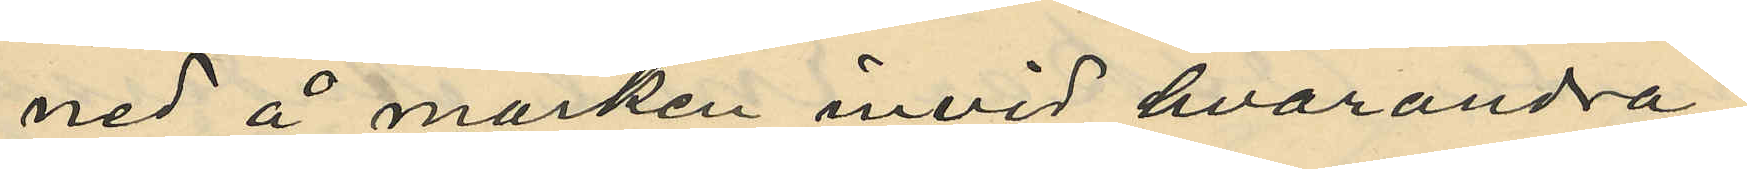ned å marken invid hvarandra
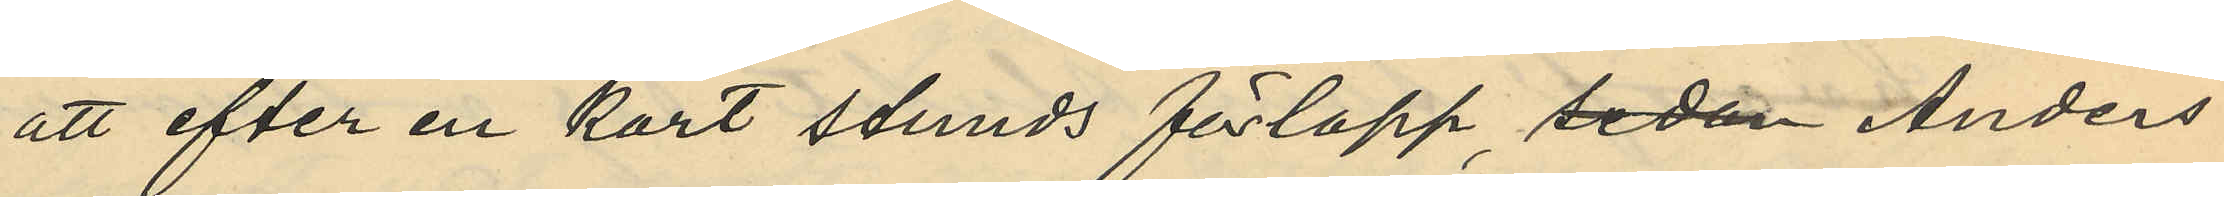att efter en kort stunds förlopp sedan Anders¬
